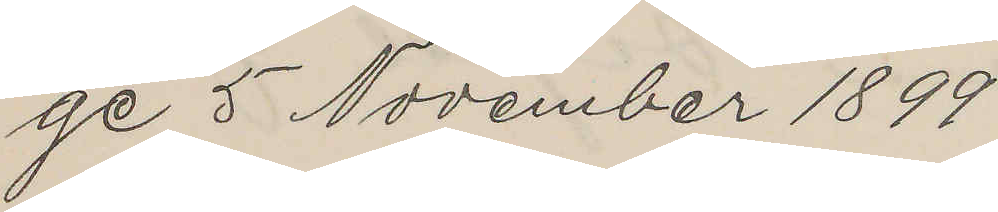ge 5 November 1899
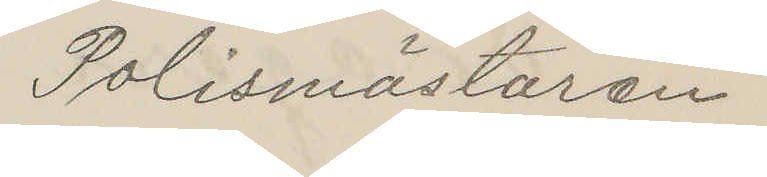Polismästaren
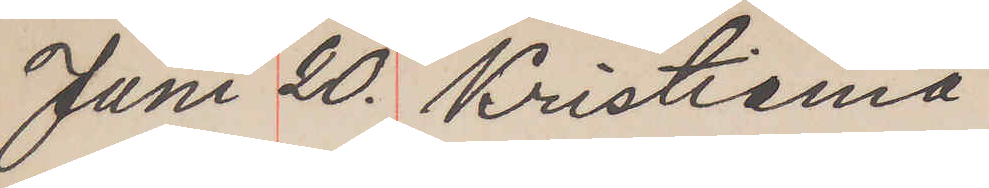Juni 20. Kristiania
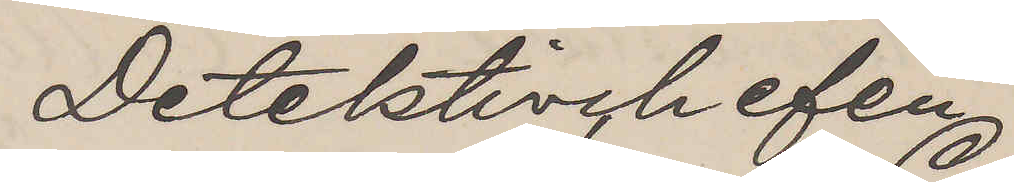Detektivchefen
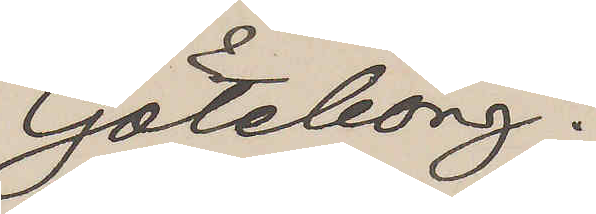Göteborg.
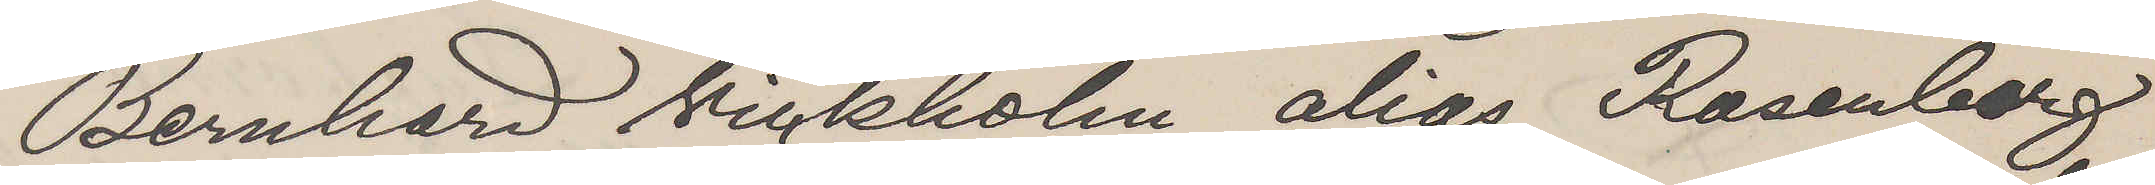Bernhard Vickholm alias Rosenberg
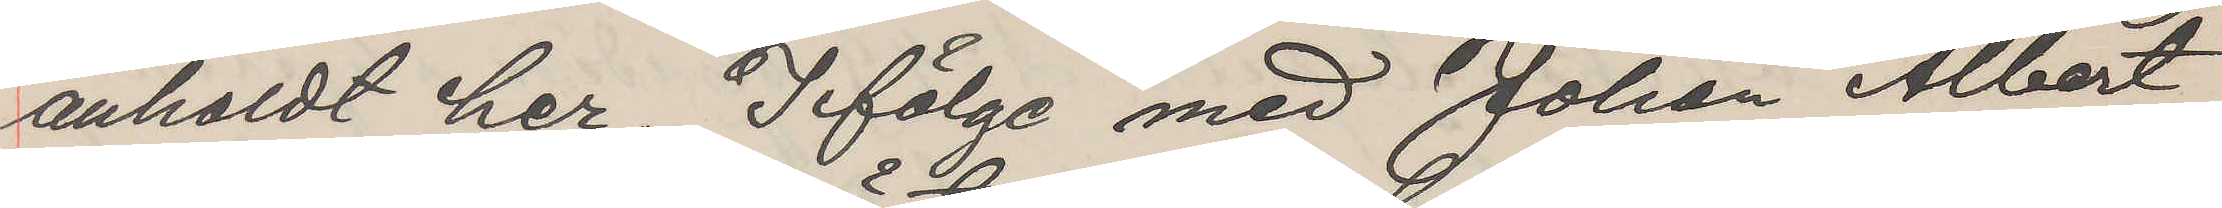anholdt her. I fölge med Johan Albert
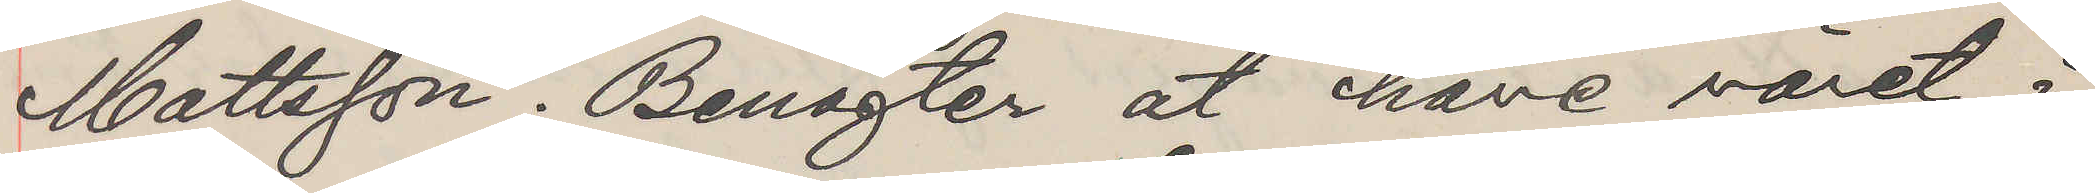Mattsson. Benägter at have väret i
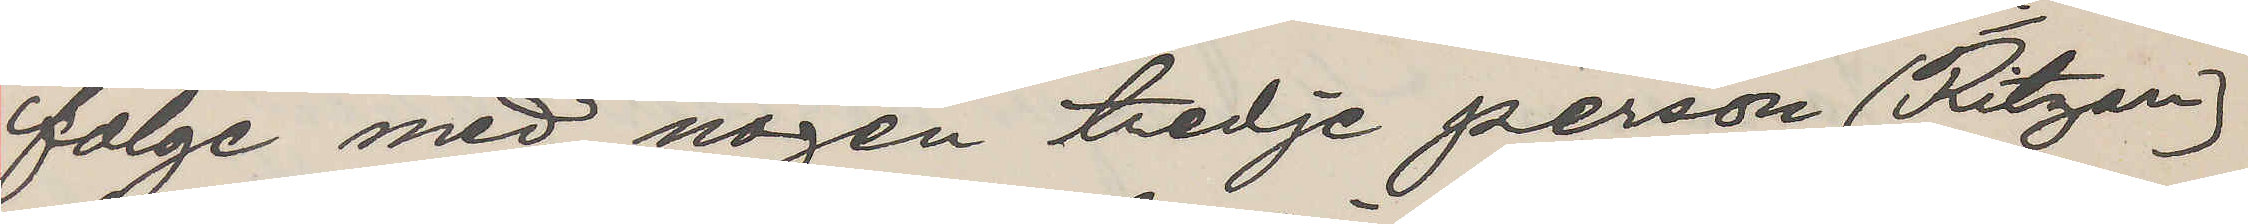fölge med nogen tredje person (Ritzen)
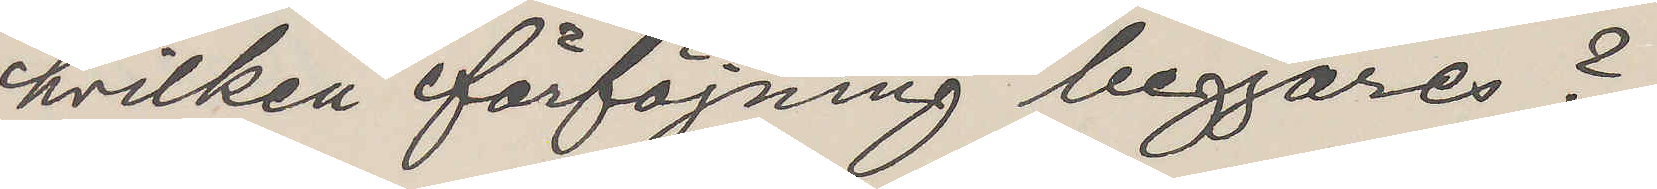hvilken förföjning begjäres?
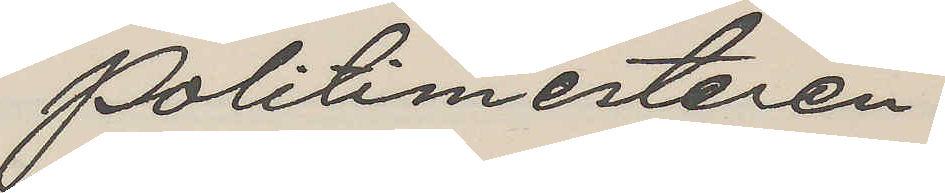Politimestaren
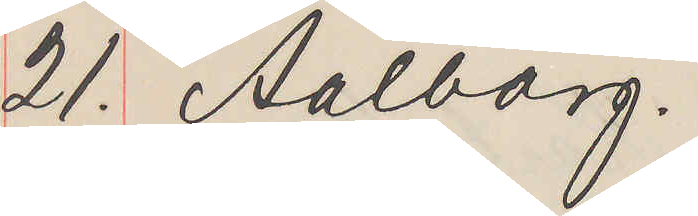21. Aalborg.
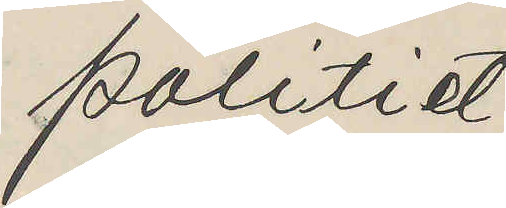politiet,
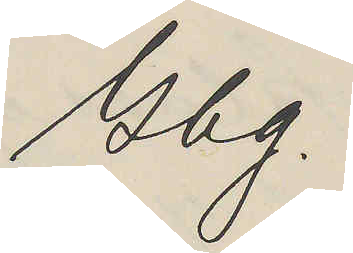Gbg.
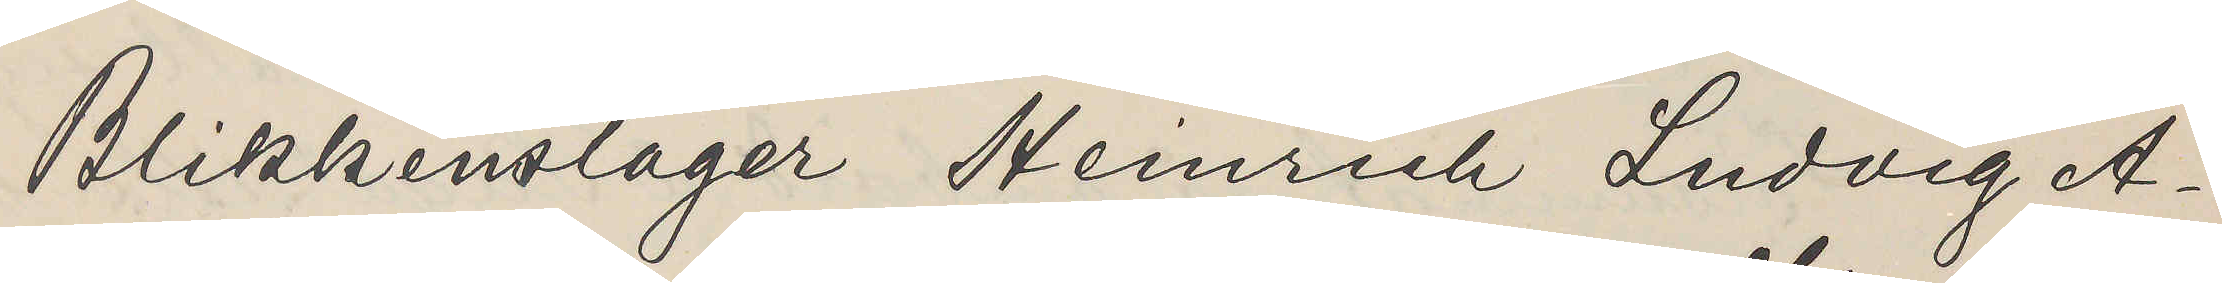Blikkenslager Heinrich Ludvig A¬
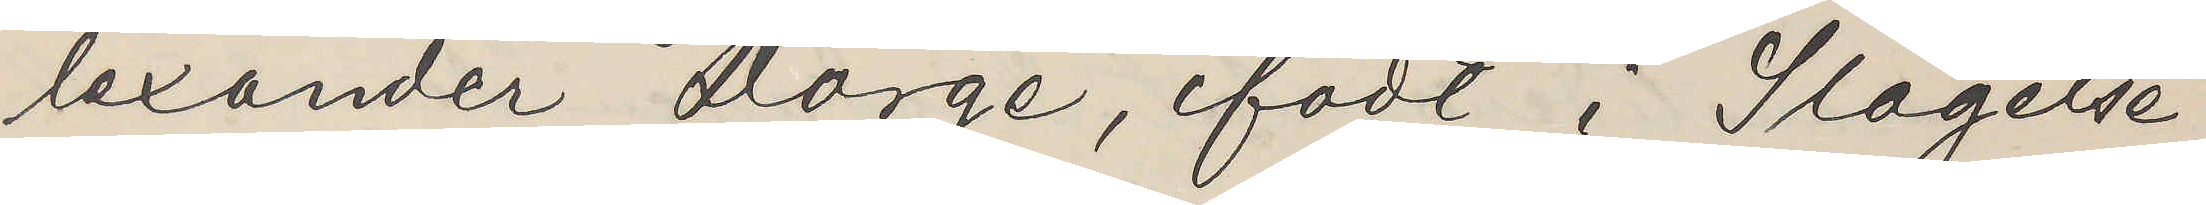lexander Dörge, födt i Slagelse
